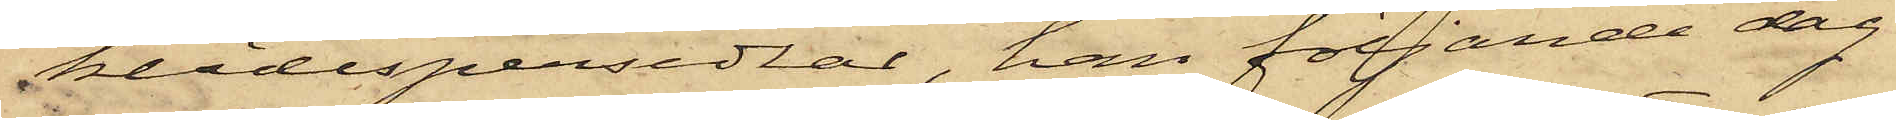klädespersedlar, han följande dag
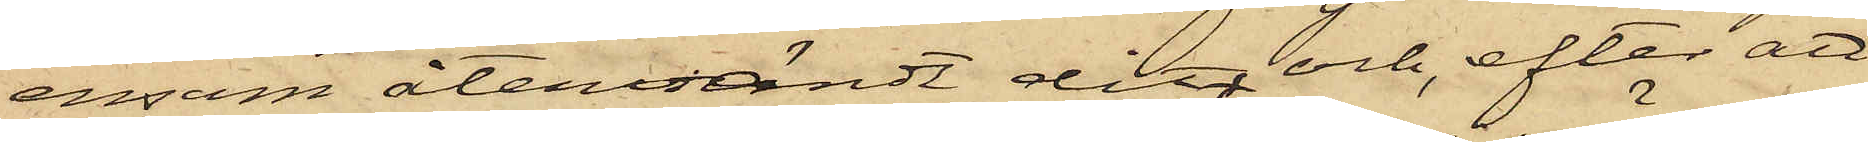ensam återvändt dit och, efter att
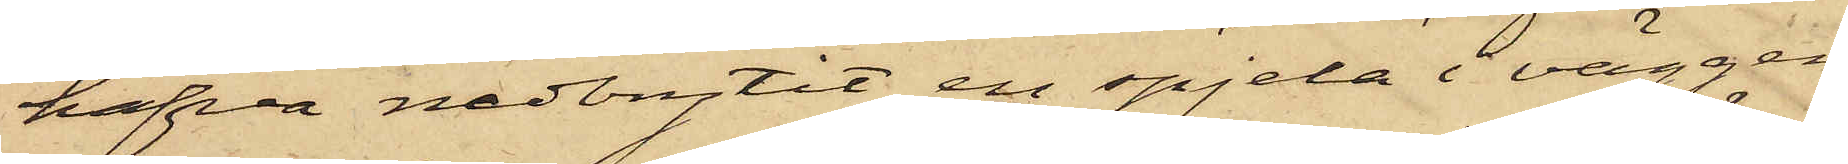hafva nedbrytit en spjela i väggen
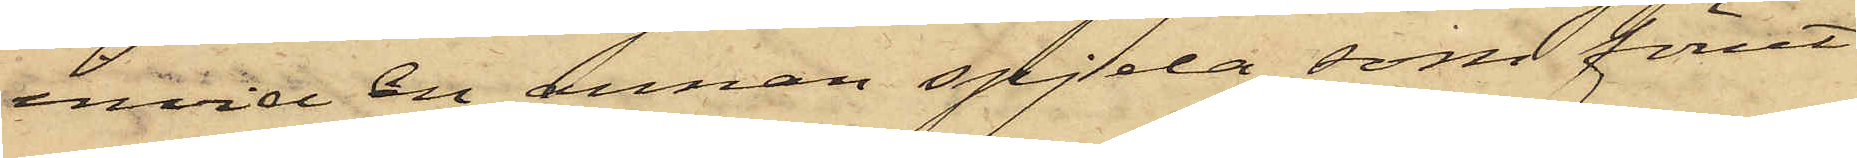invid en annan spjela, som förut
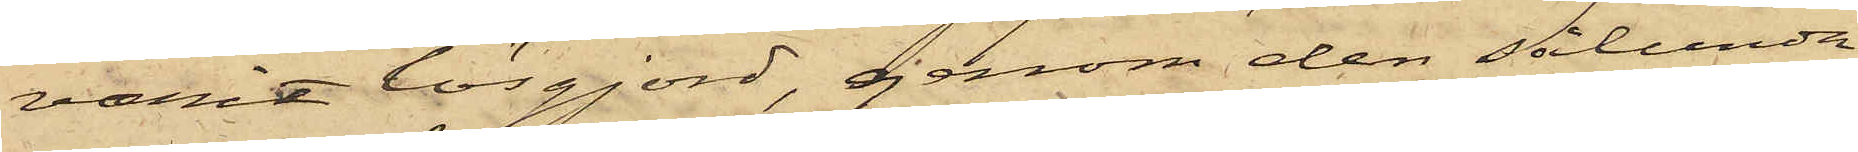varit lösgjord, genom den sålunda
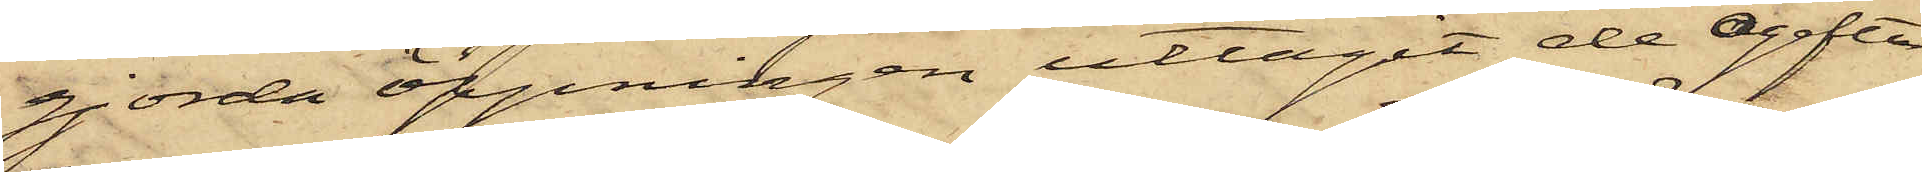gjorda öppningen uttagit de ogifta
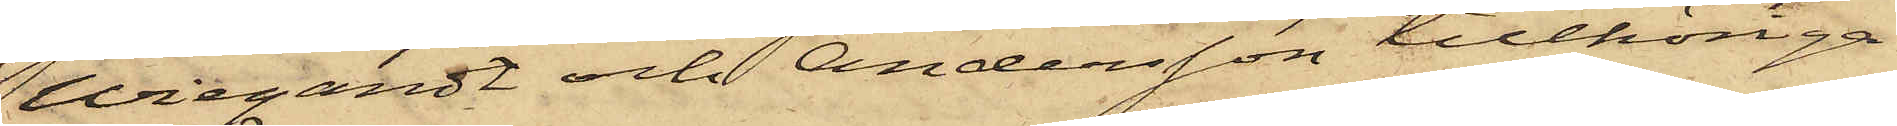Wiegardt och Andersson tillhöriga
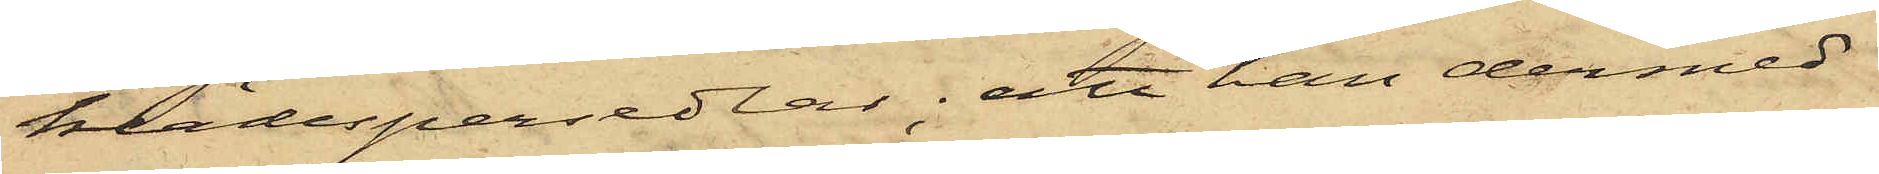klädespersedlar; att han dermed
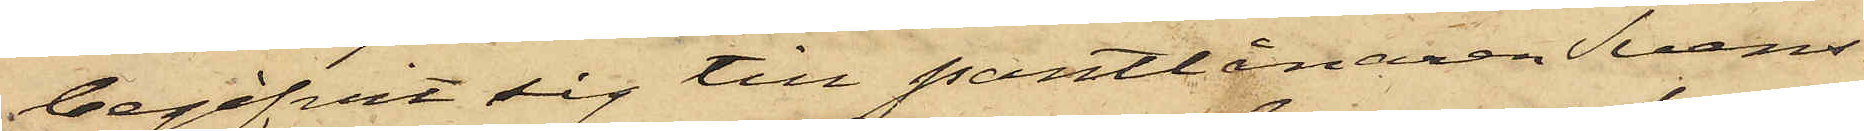begifvit sig till Pantlånaren Svens¬
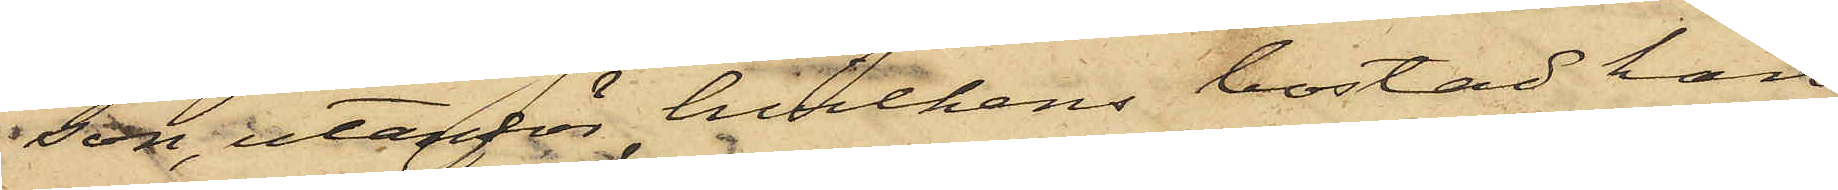son, utanför hvilkens bostad han
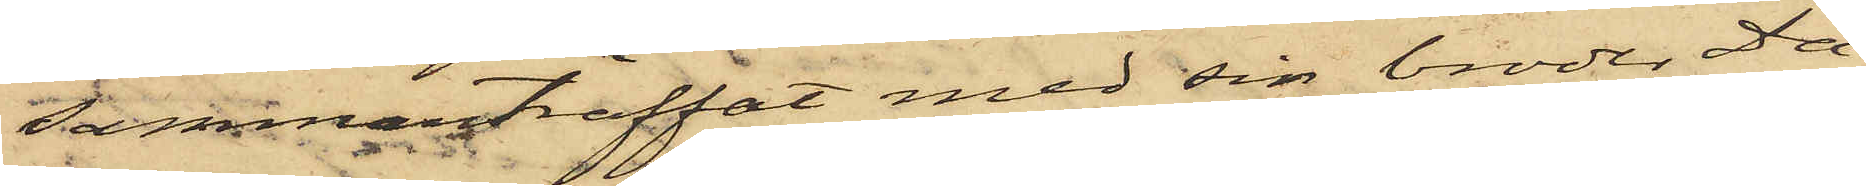sammanträffat med sin broder Da¬
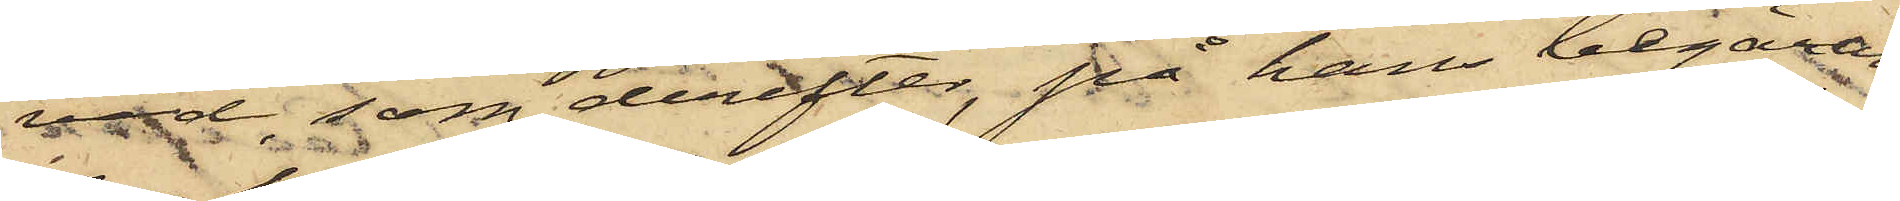vid, som derefter, på hans begäran,
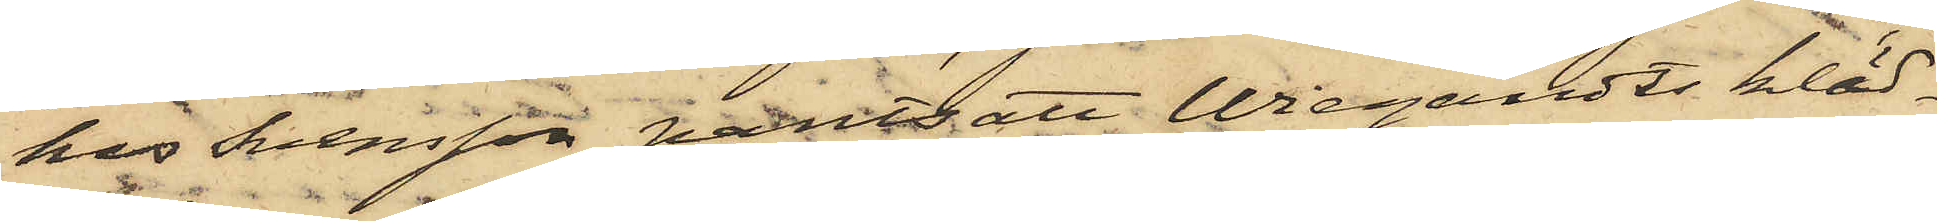hos Svensson pantsatt Wiegardts kläd¬
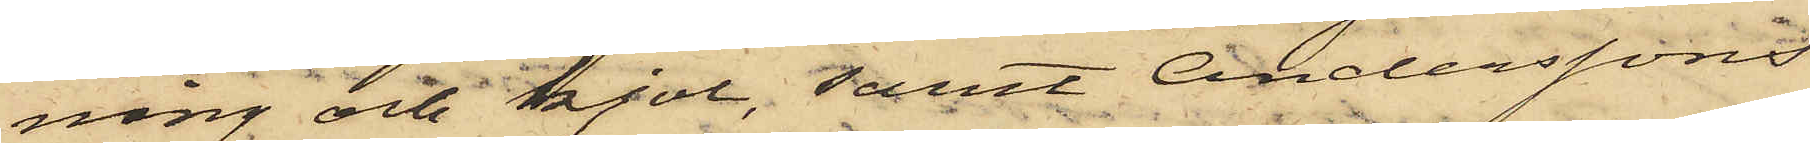ning och kjol, samt Anderssons
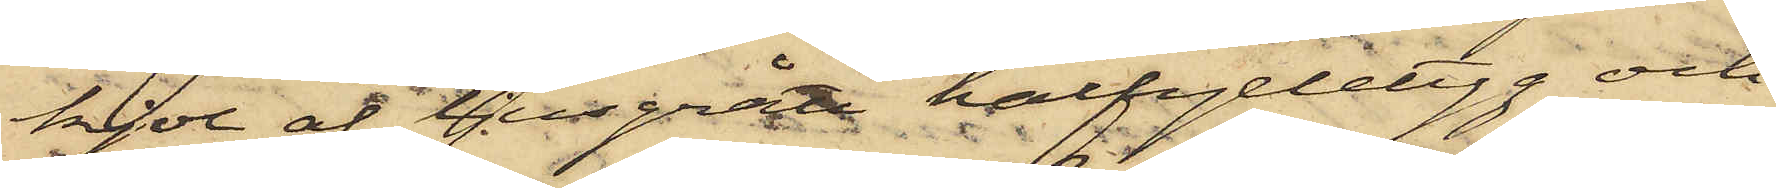kjol af ljusgrått halfylletyg och
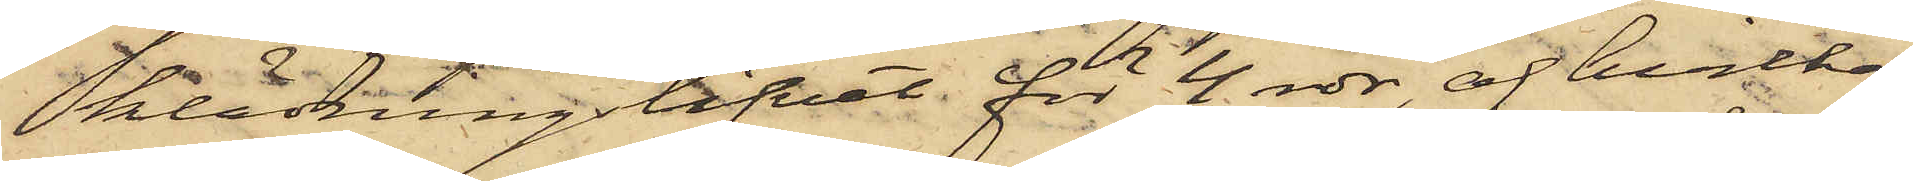klädningslifvet för 4 rdr, af hvilka
